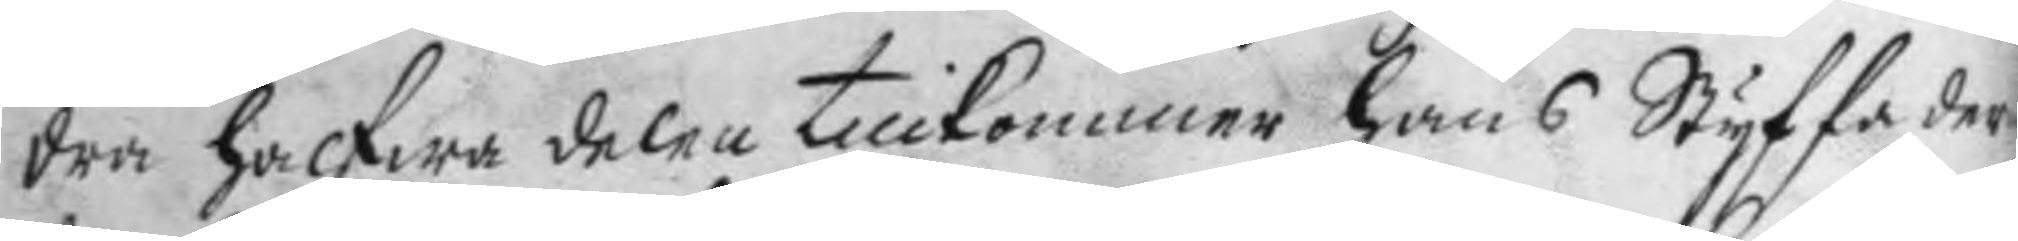dra halfwa delen tillkommer hans Styffader
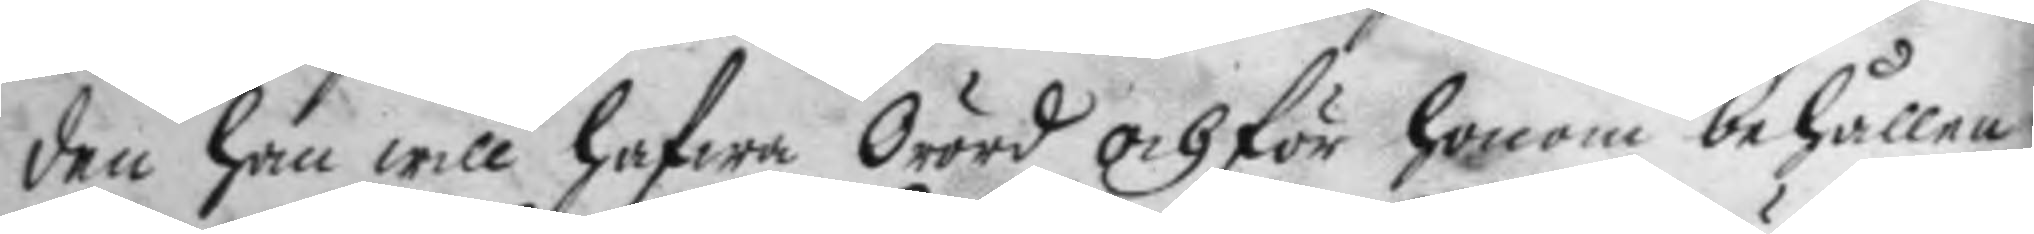den han will hafwa Orörd och för honom behållen
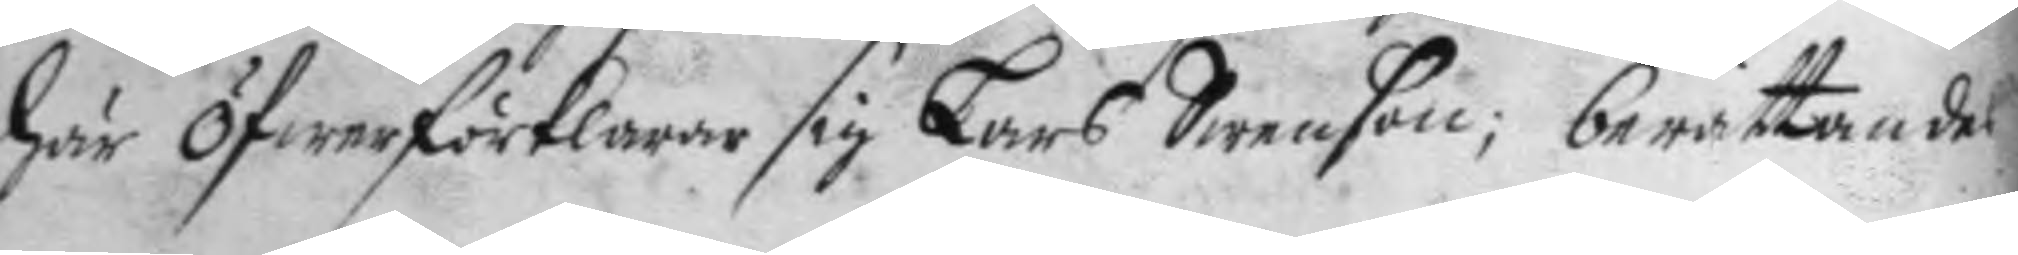här öfwer förklarar sig Lars Swenson; berättandes
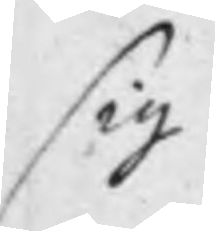sig
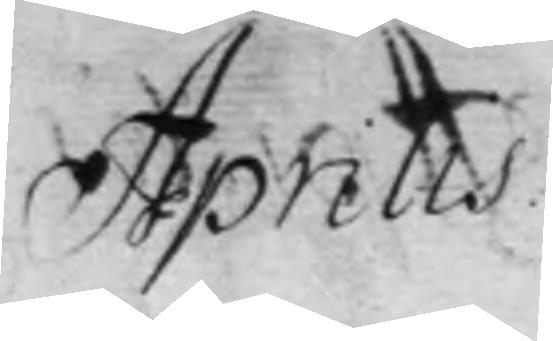Aprilis
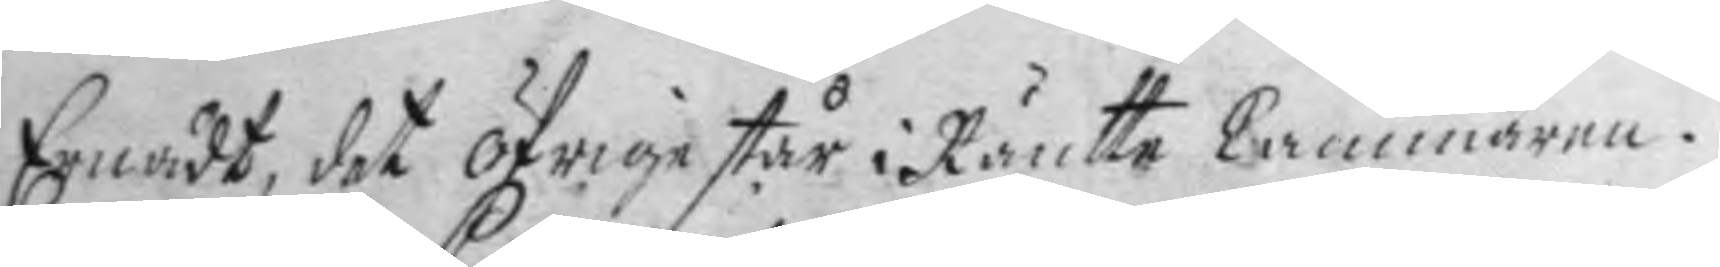Ernådt, det öfrige står i Räntte Cammaren.
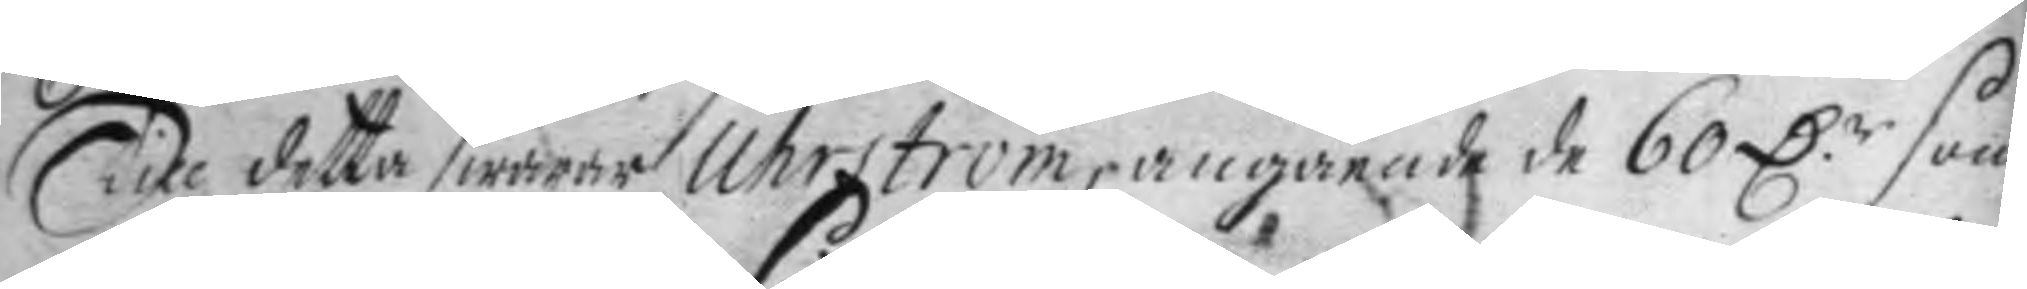Till detta swarar Uhrström, angående de 60 D.r som
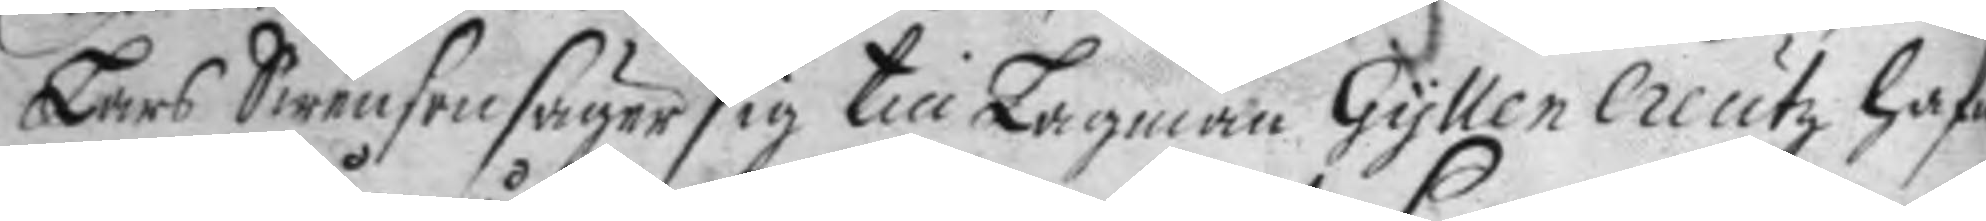Lars Swenson säger sig till Lagman GyllenCreutz hafa
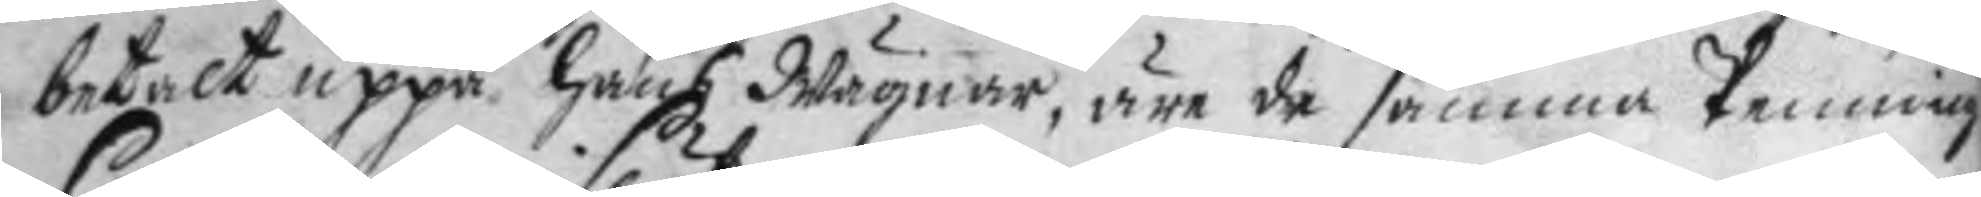betalt uppå hans Wägnar, äre de samma Penning
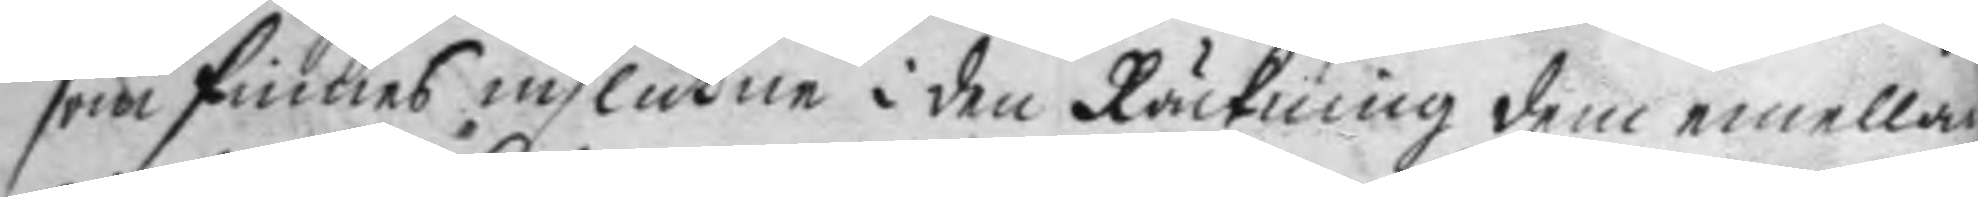som finnes inslutne i den Räckning dem emellan
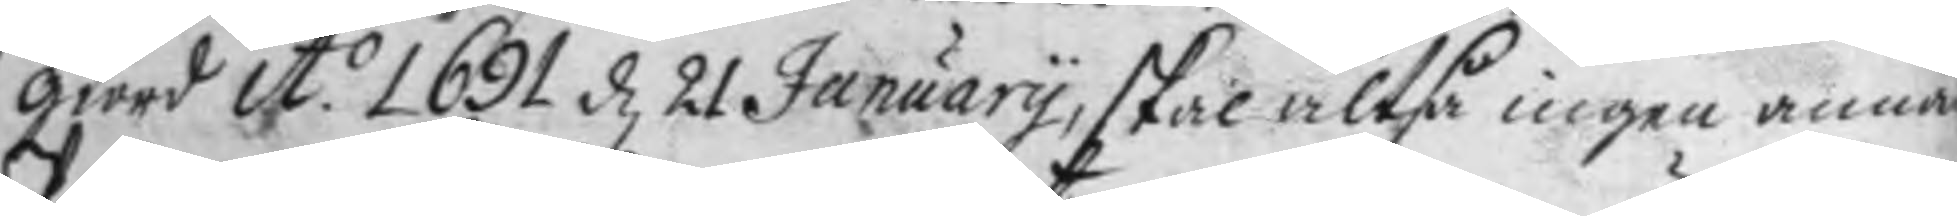giord A.o 1691 d 21 January, skal altså ingen annan
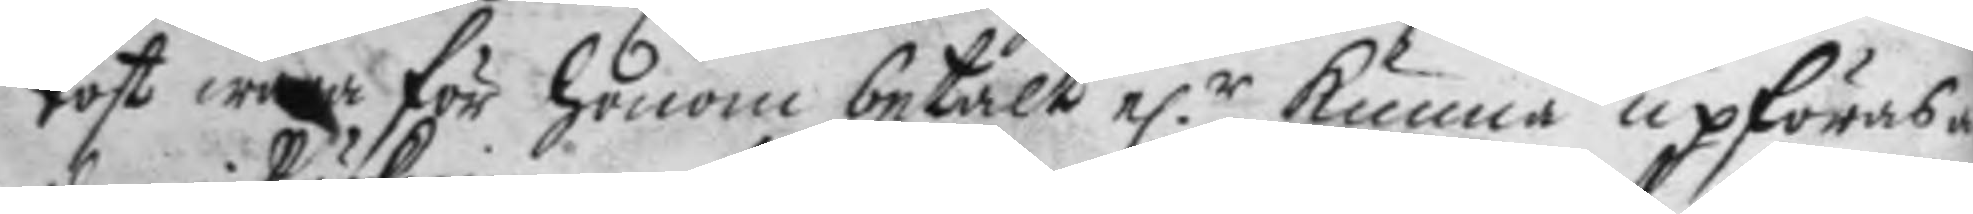Post wara för honom betalt e.r kunna upföras
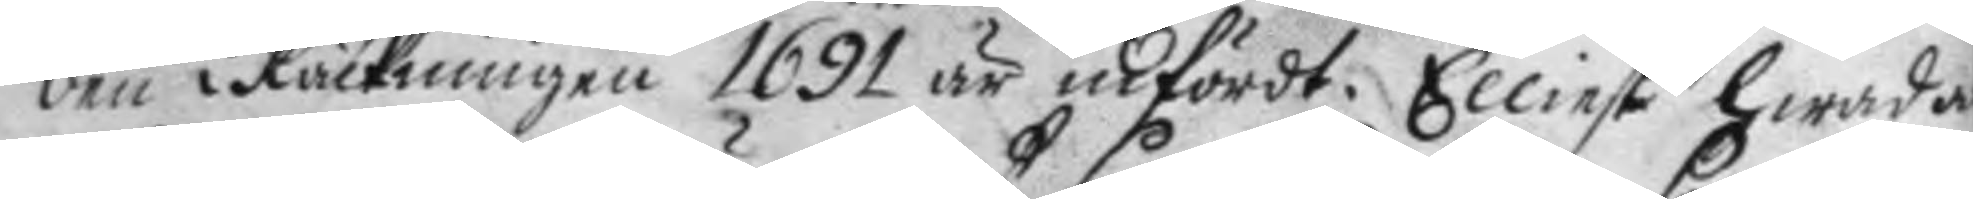den i Räckningen 1691 är infördt. Elliest hwadan
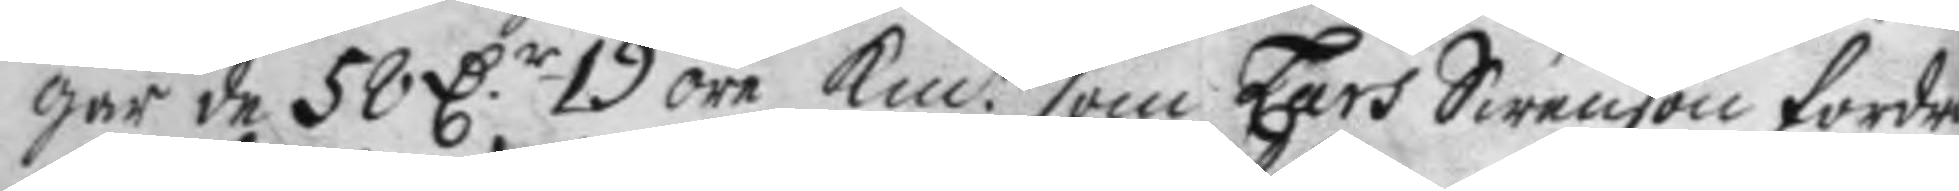går de 58 D.r 19 öre Kmt som Lars Swenson fordra
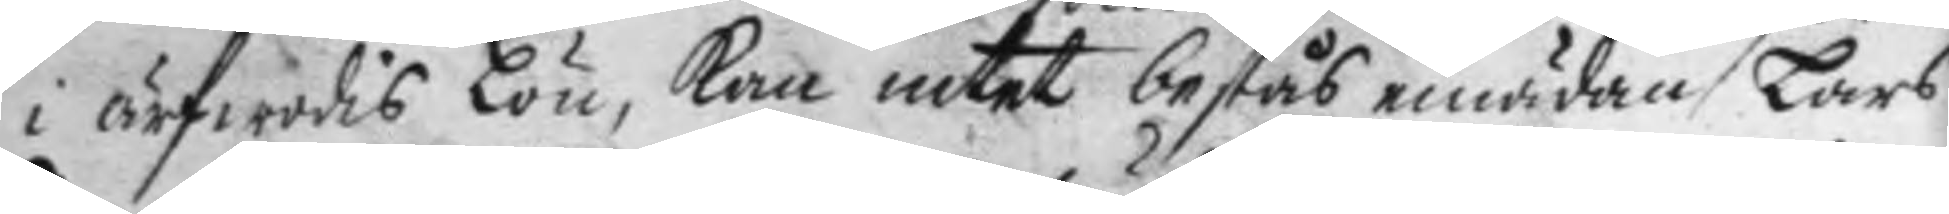i ärfwodis Lön, kan intet bestås emädan Lars
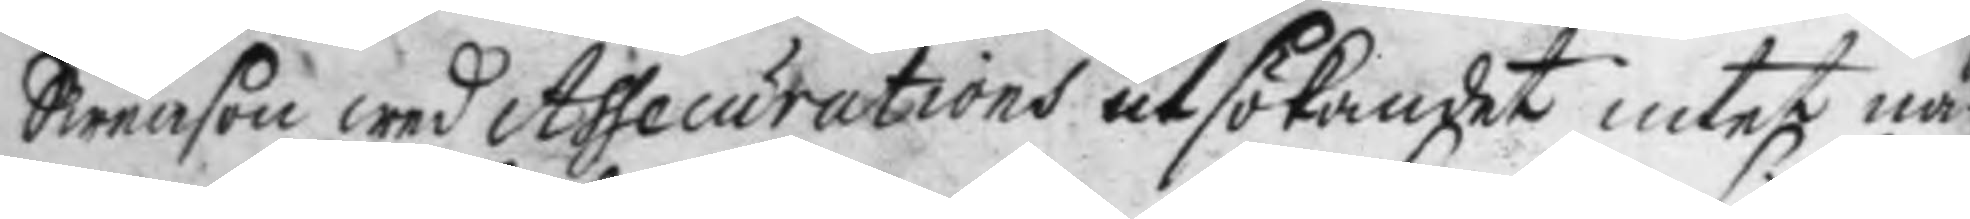Swenson med Assecurations utsökandet intet nå¬
